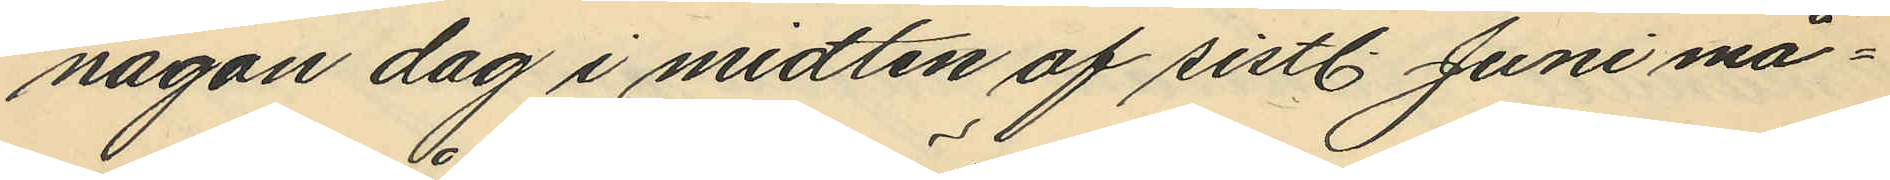någon dag i midten af sistl. Juni må¬
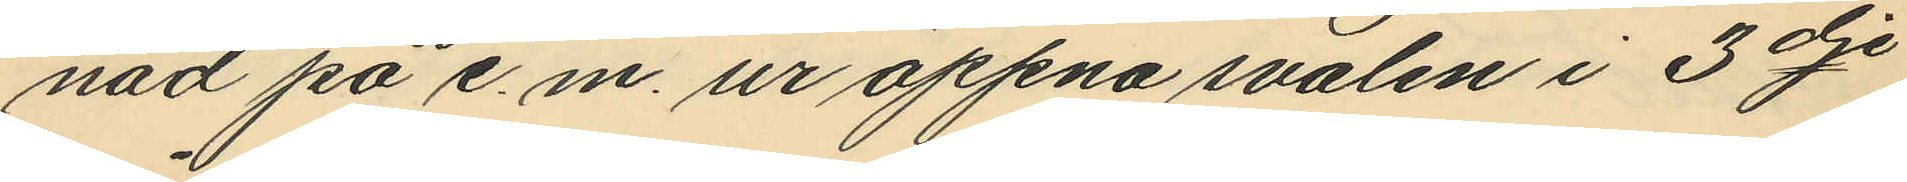nad på e.m. ur öppna svalen i 3dje
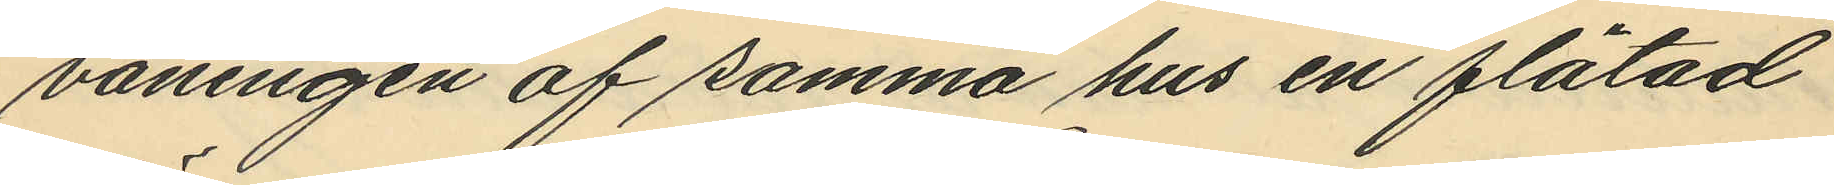våningen af samma hus en flätad
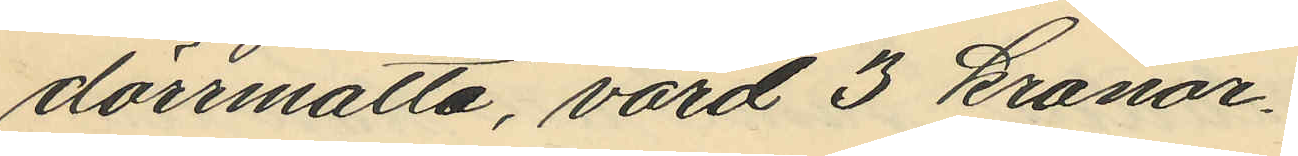dörrmatta, värd 3 kronor.
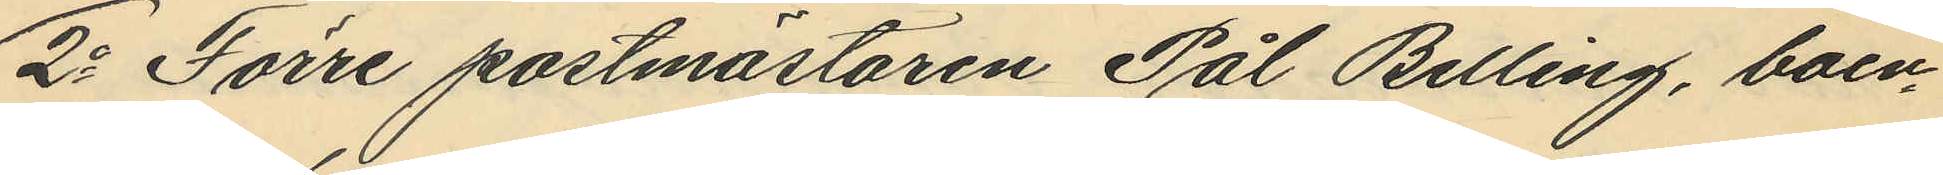2o Förre postmästaren Pål Belling, boen¬
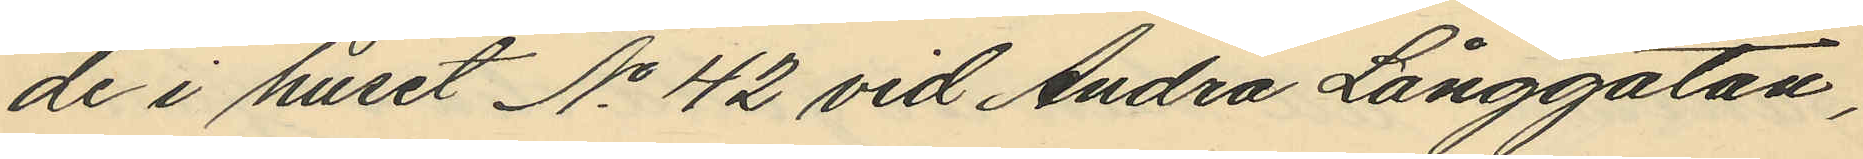de i huset No 42 vid Andra Långgatan,
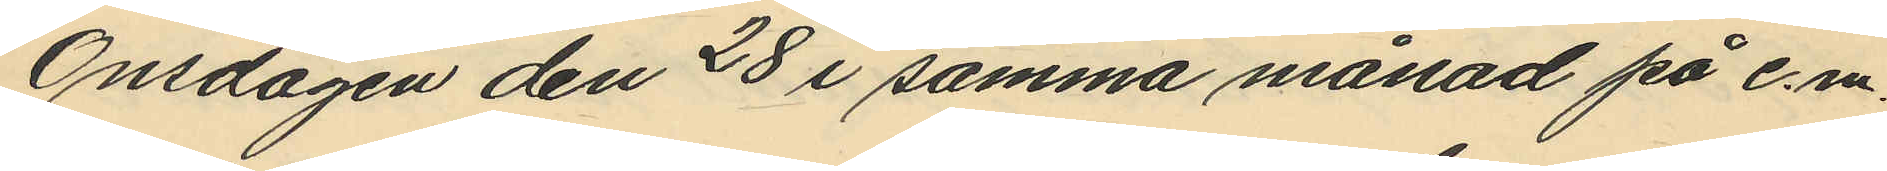Onsdagen den 28 i samma månad på e.m.
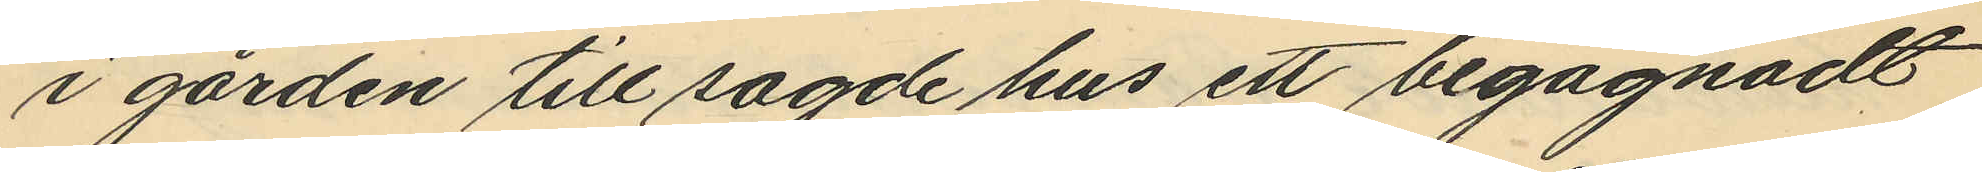i gården till sagde hus ett begagnadt
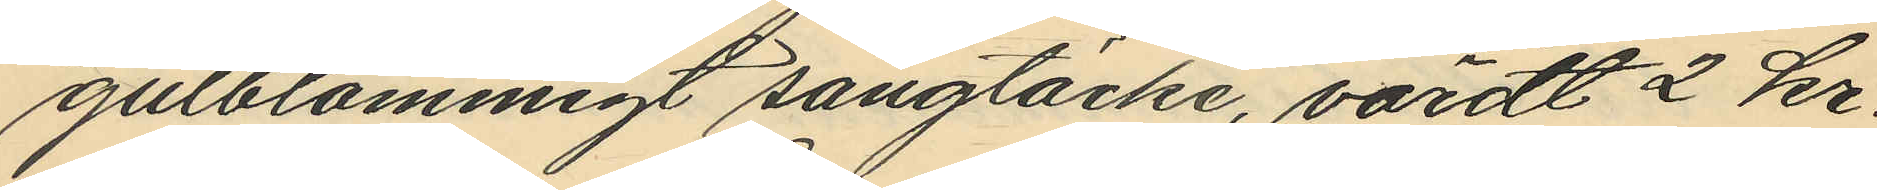gulblommigt sängtäcke, värdt 2 kr.
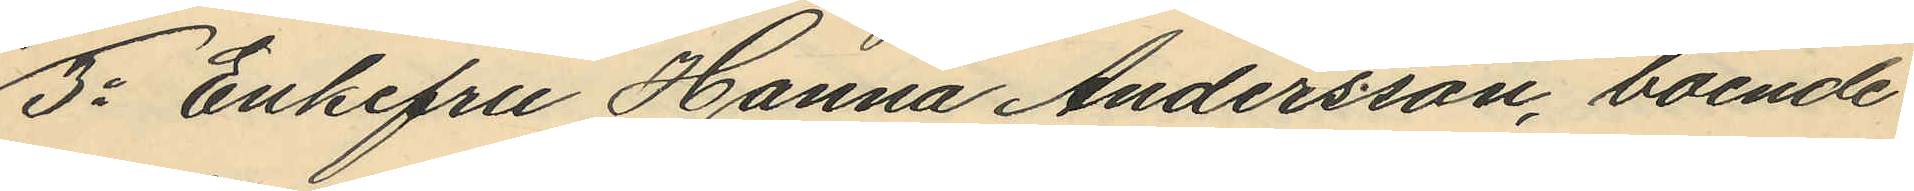3o Enkefru Hanna Andersson, boende
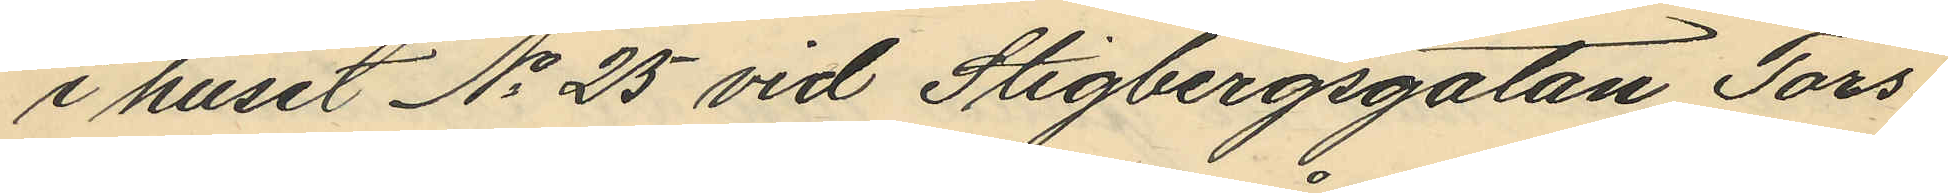i huset No 25 vid Stigbergsgatan, Tors¬
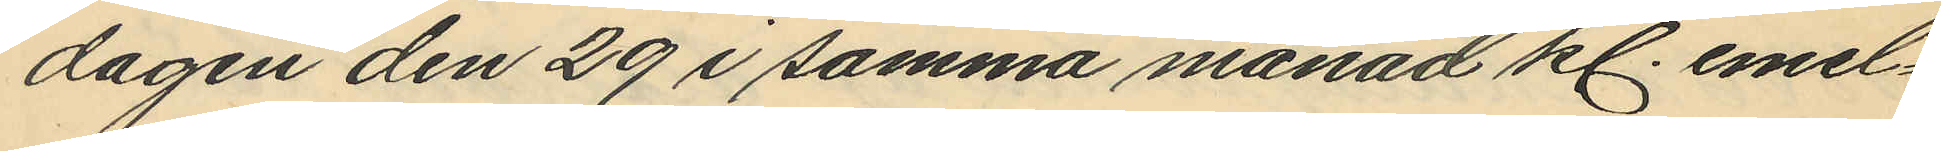dagen den 29 i samma månad kl. emel¬
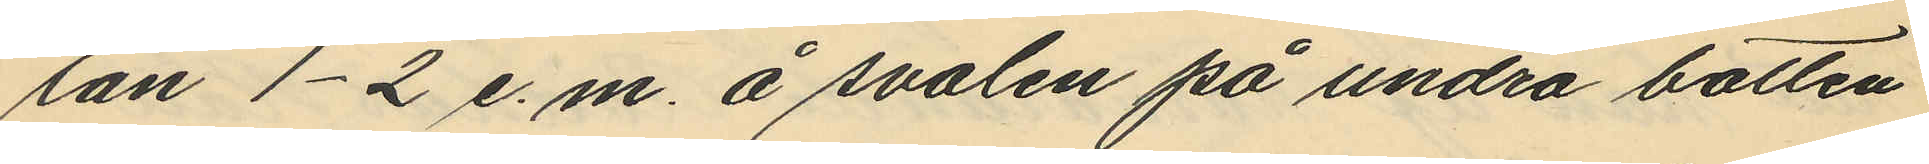lan 1-2 e. m. å svalen på undre botten
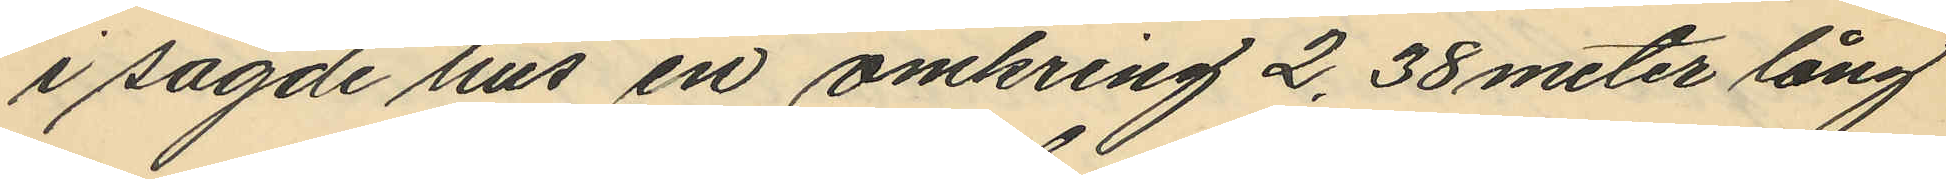i sagde hus en omkring 2,38 meter lång
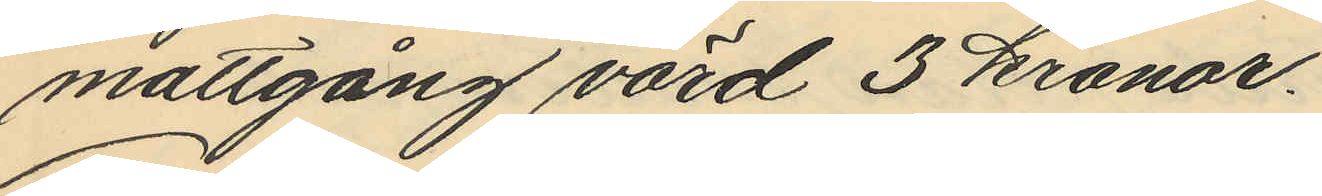mattgång värd 3 kronor.
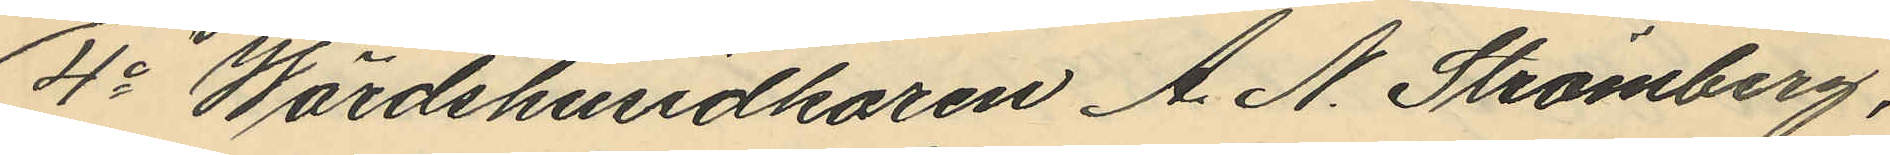4o Wärdshusidkaren A. N. Strömberg,
